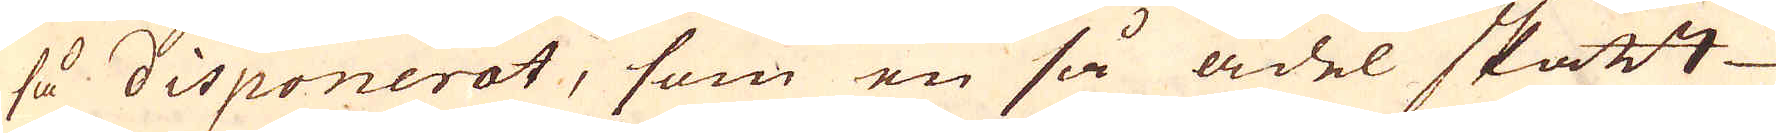så disponerat, som en så ädel skatt
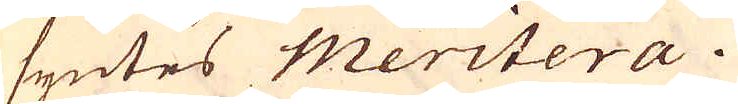syntes meritera.
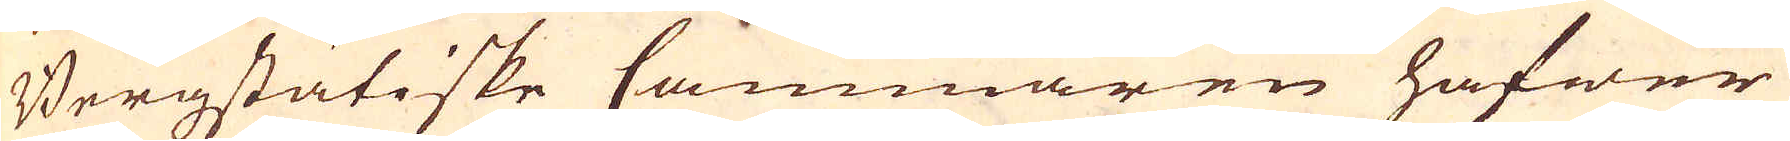Bergstätiske Cammaren hafwer
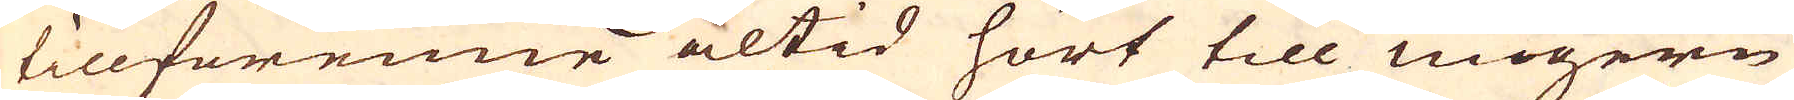tillförenne altid hört till Ungern
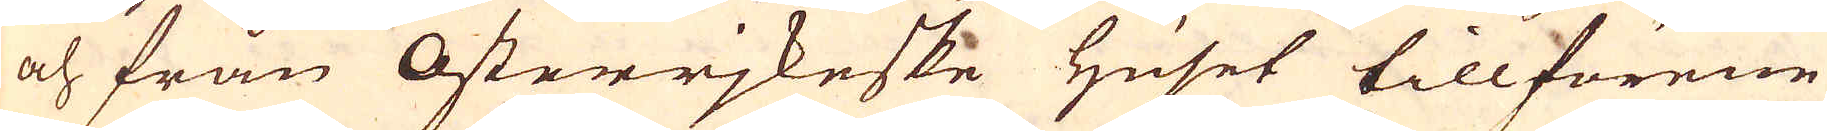och från Österrjkeske huset tillförene
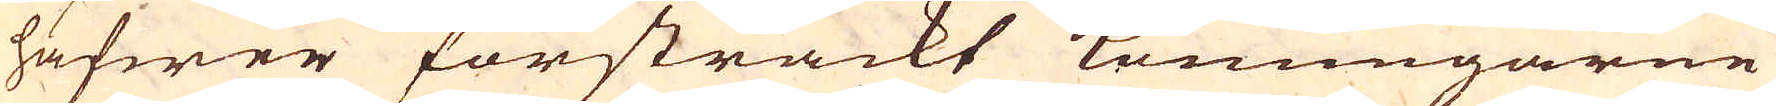hafwer försträckt Konungarne
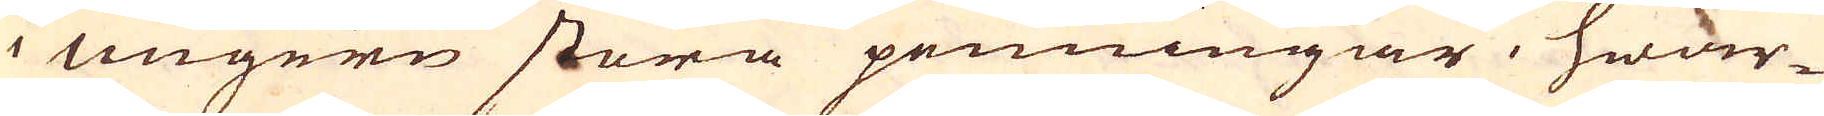i Ungern stora penningar, hwar-
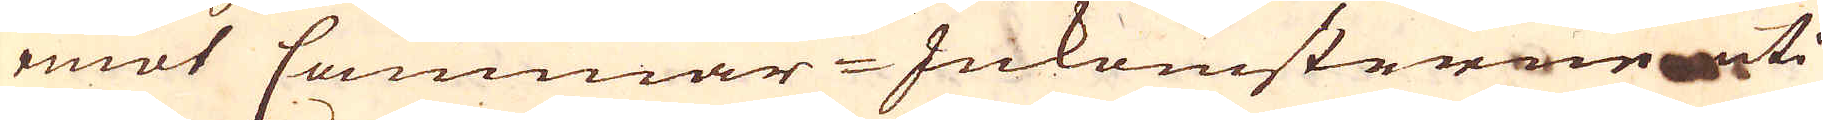emot Cammar-Inkomsterne uti
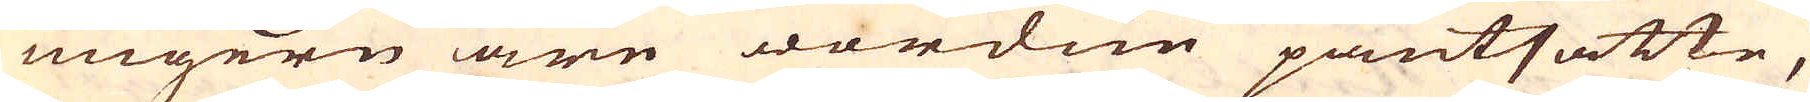Ungern äre wordne pantsatte,
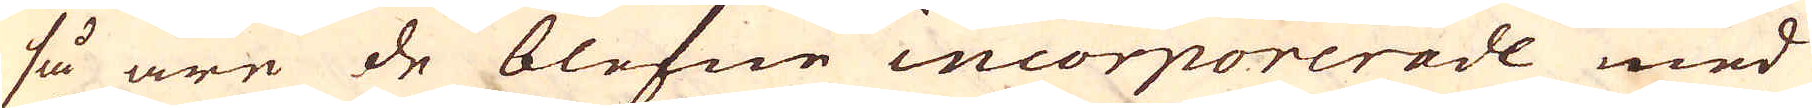så äre de blefne incorporerade med
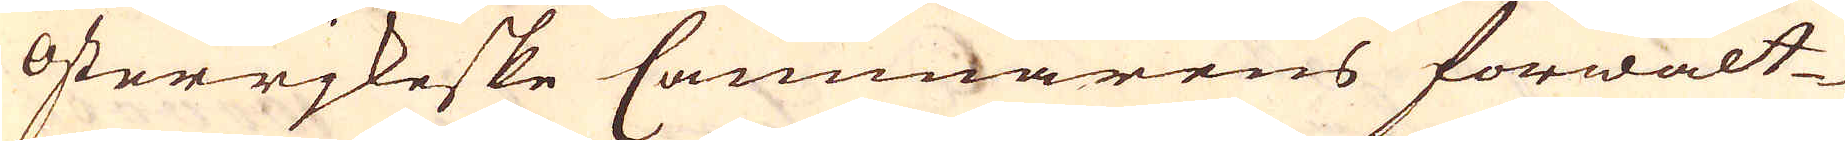Österrjkeske Cammarens förwalt-
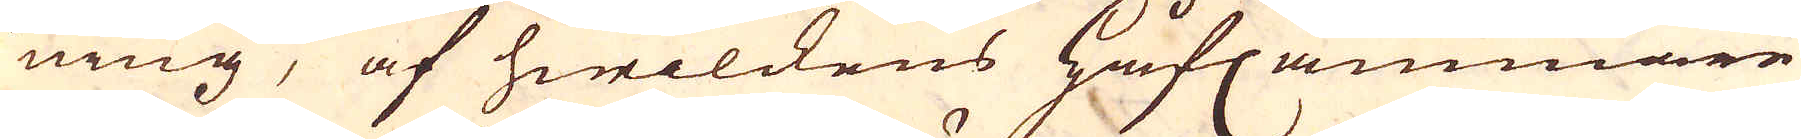ning, af hwilckens Håfcammare
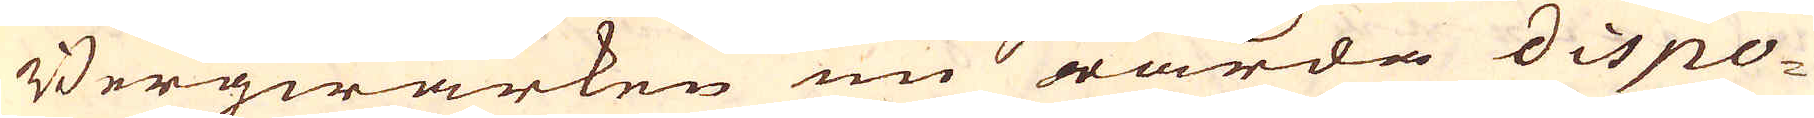Bergwärken nu warda dispo-
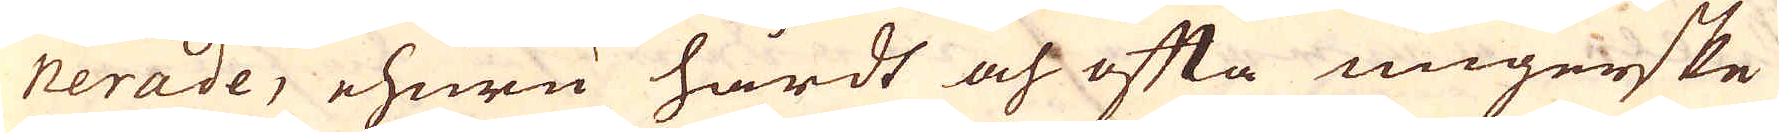nerade, ehuru hårdt och ofta ungerske
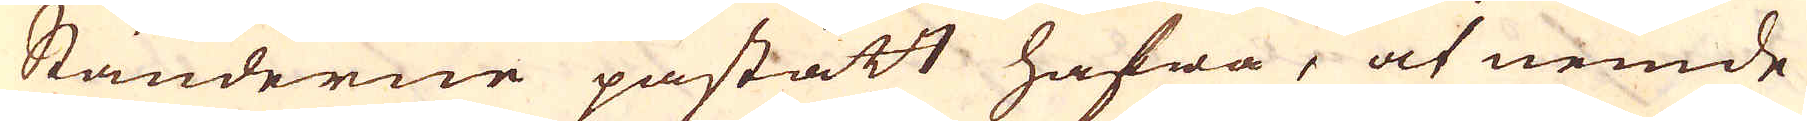Ständerne påstått hafwa, at nemde
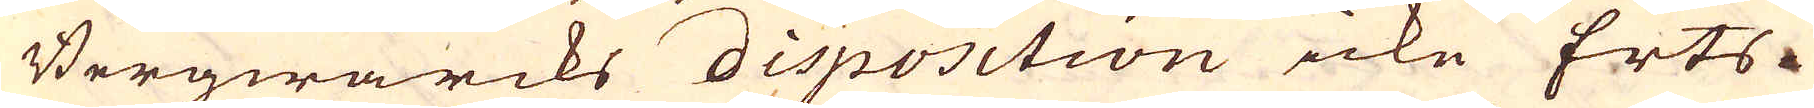Bergwärcks disposition icke Erts-
